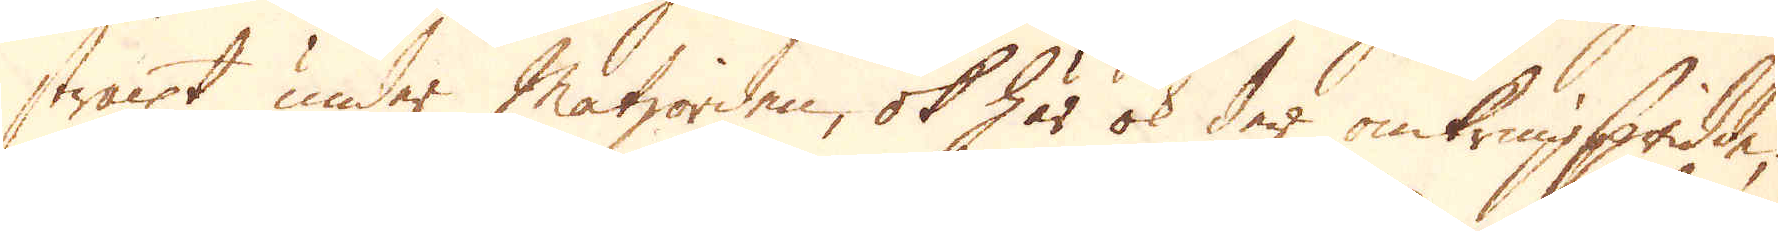straxt under Matjorden, ok här ok der omkringspridde,
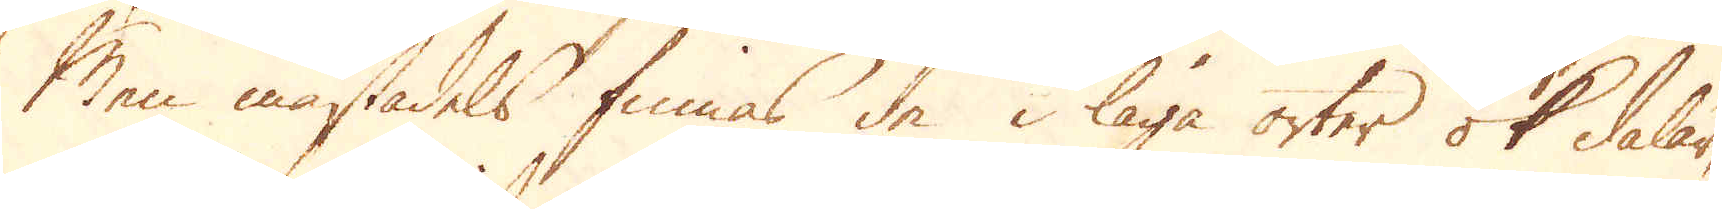Men mästadels finnas de i låga orter ok dalar,
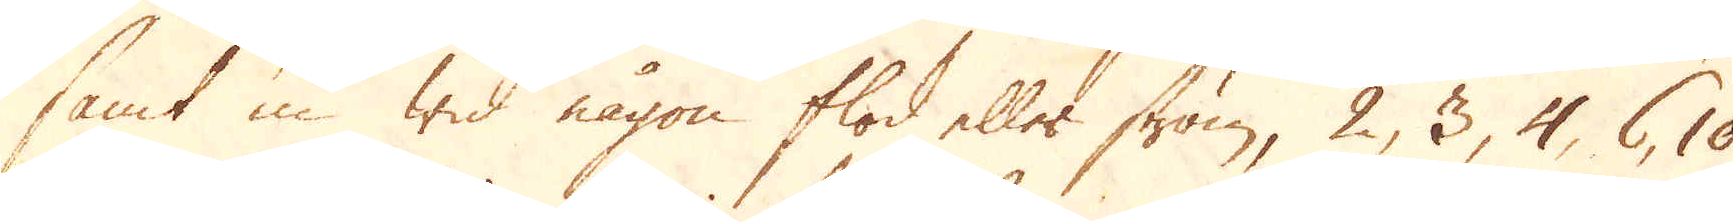samt in wid någon flod eller ström, 2, 3, 4, 6, 10
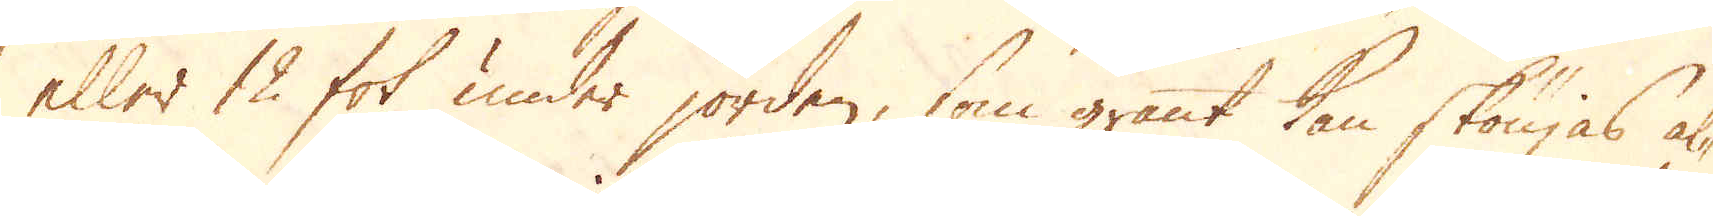eller 12 fot under jorden, som grant kan skönjas al-
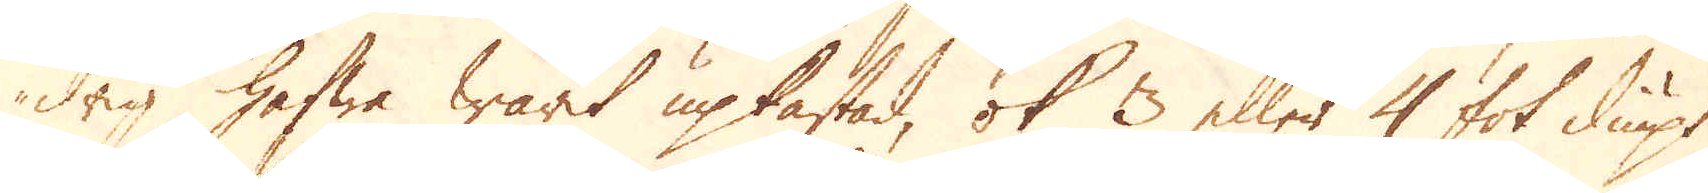drig hafwa warit upkastad, ok 3 eller 4 fot diupt
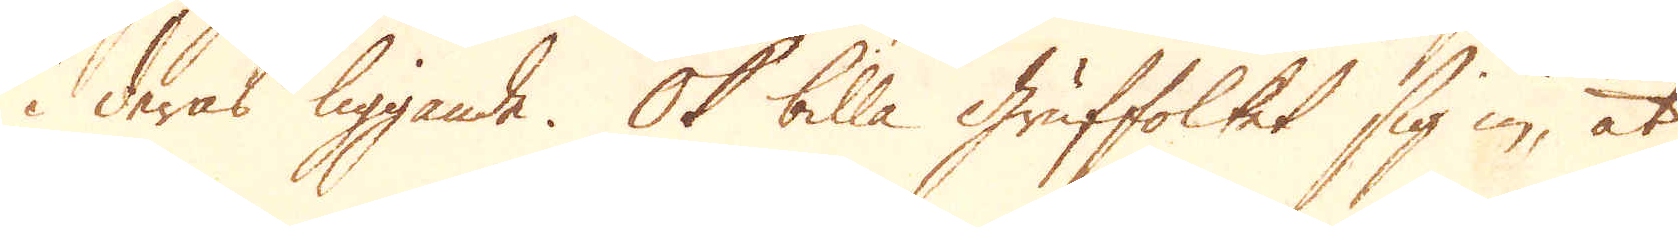i deras liggande. Ok billa Gruffolket sig in, at
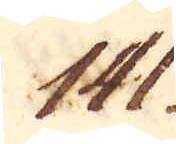141.
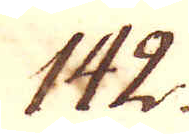142.
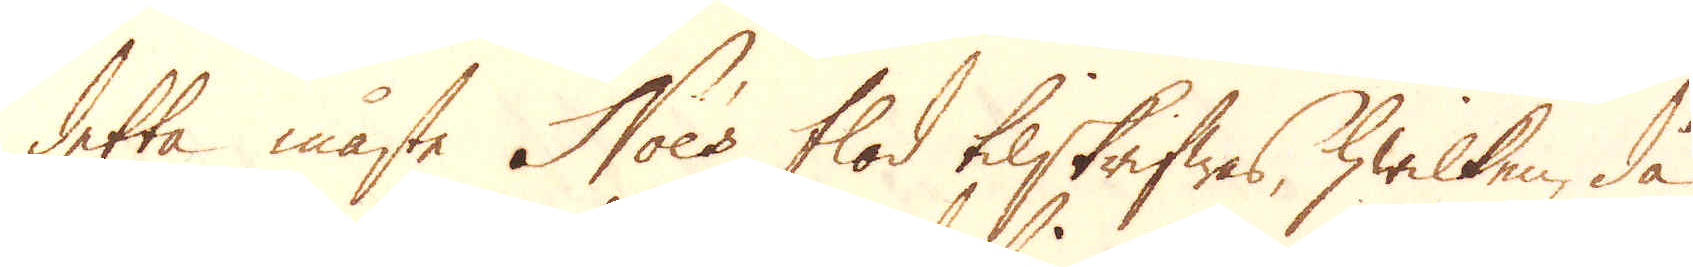detta måste Noe's flod tilskrifwas, hwilken, då
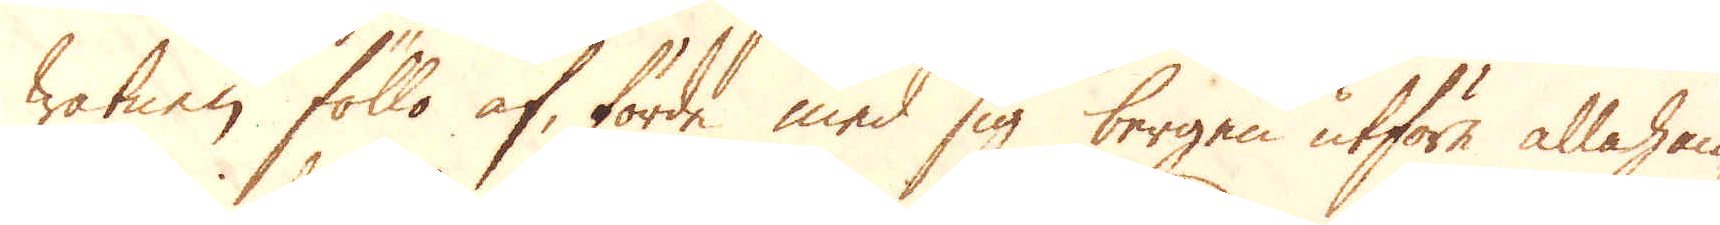watnen föllo af, förde med sig bergen utföre allahan-
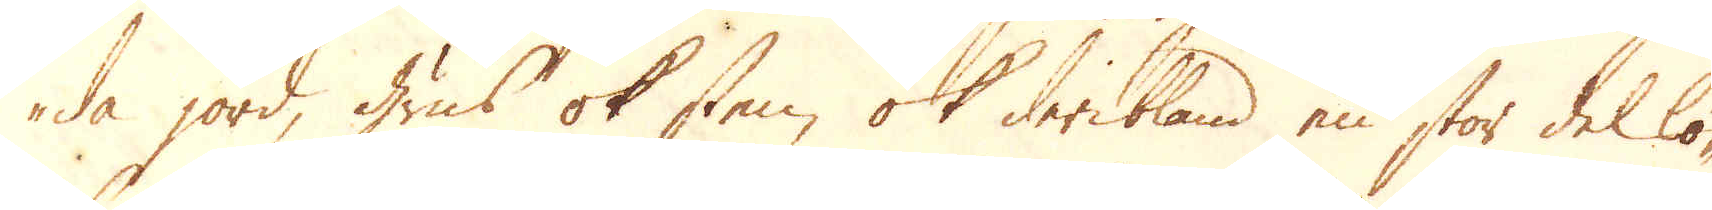da jord, grus ok sten, ok deribland en stor del lö-
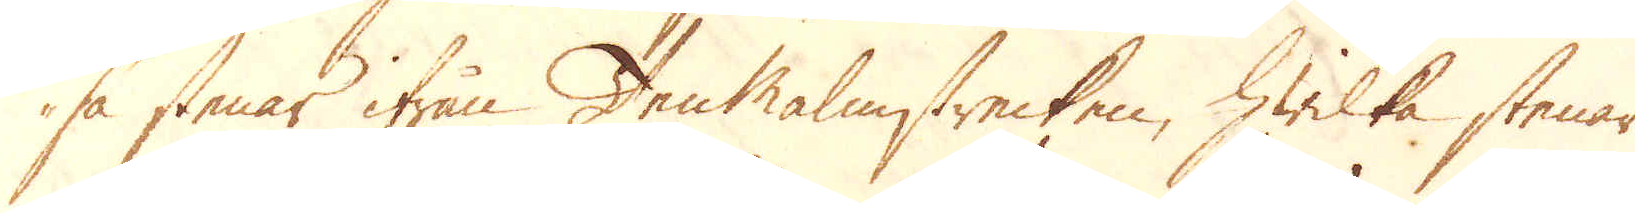sa stenar ifrån Tenmalmstrecken, hwilka stenar
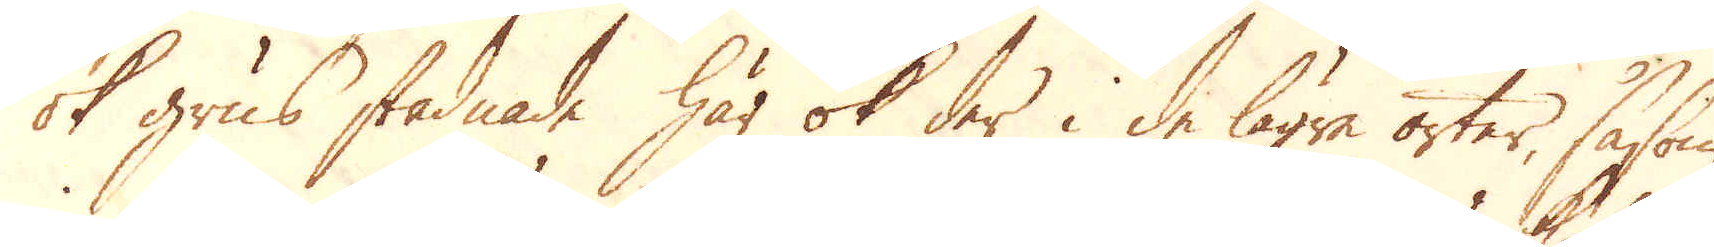ok grus stadnade här ok der i de lägre orter, såsom
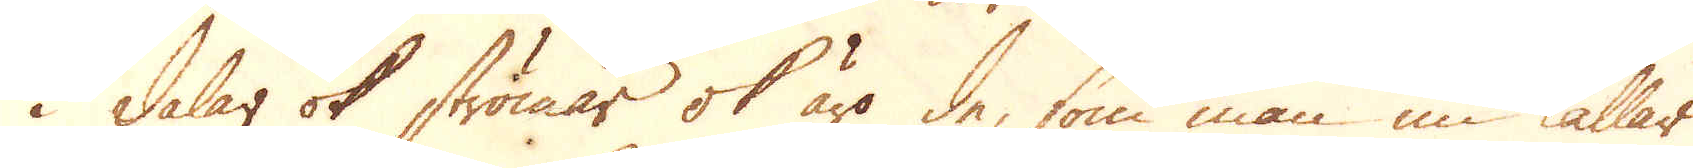i dalar ok strömar ok äro de, som man nu kallar
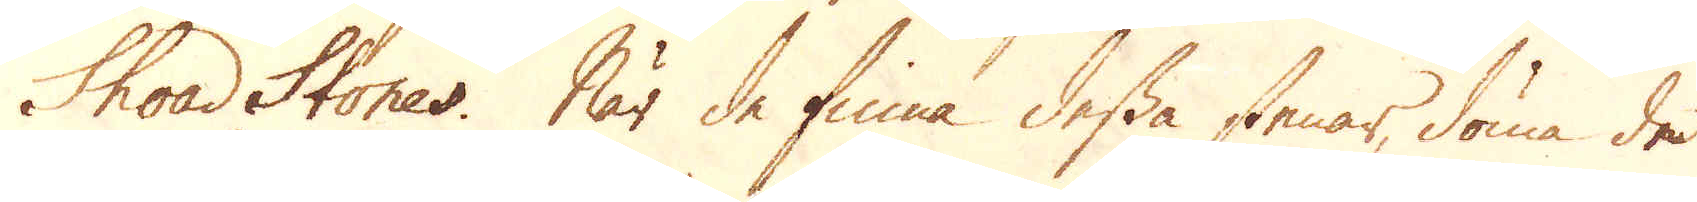Shoad Stones. När de finna dessa stenar, döma de
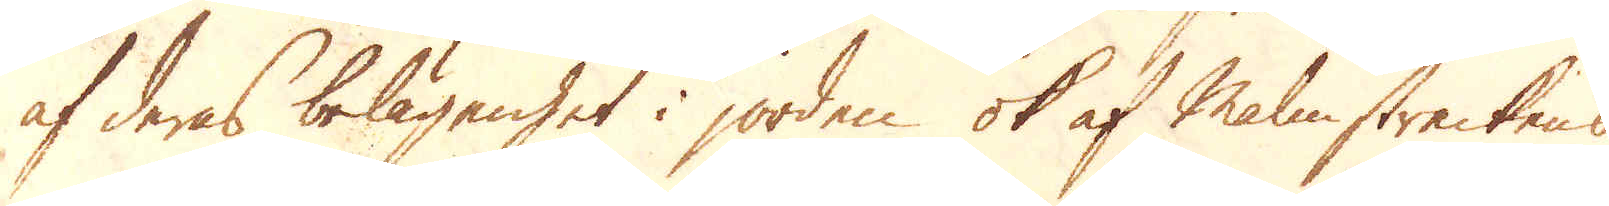af deras belägenhet i jorden ok af Malmstreckens
